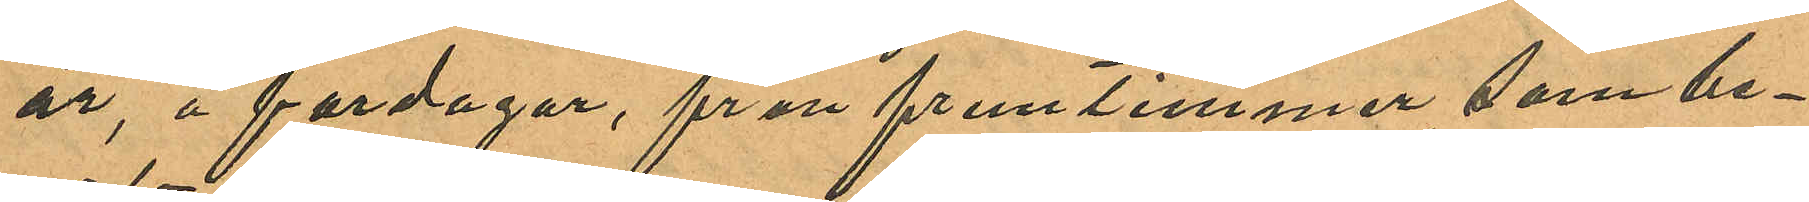år, å fardagar, från fruntimmer som be¬
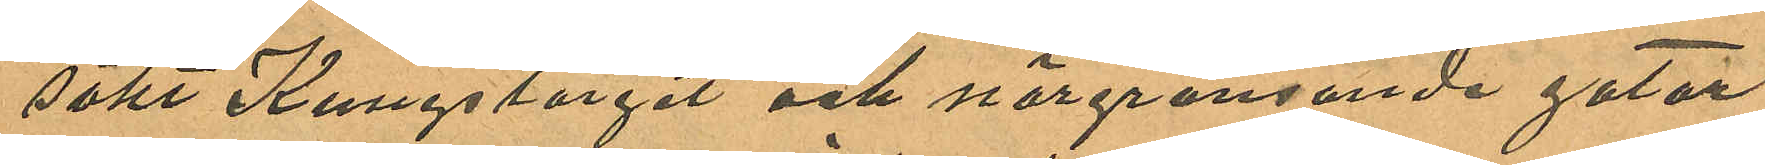sökt Kungstorget och närgränsande gator
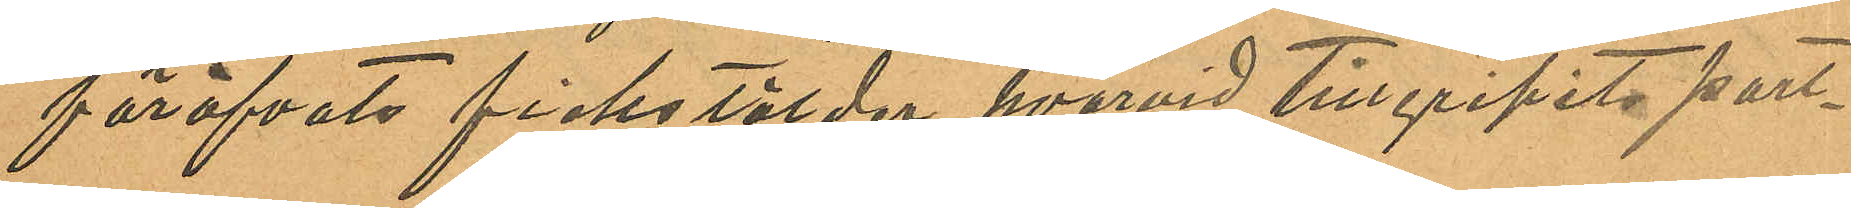föröfvats fickstölder, hvarvid tillgripits port¬
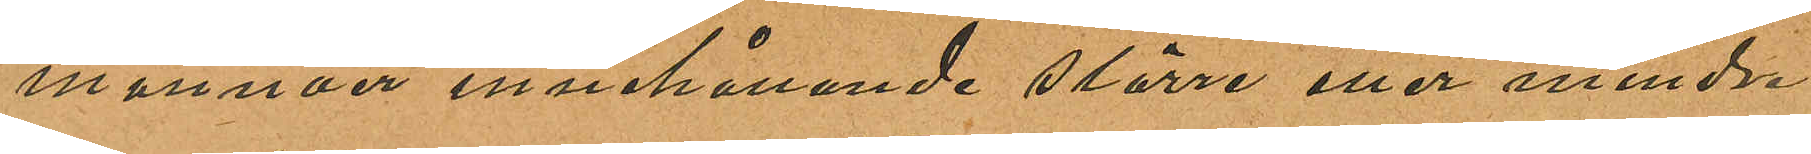monnäer innehållande större eller mindre
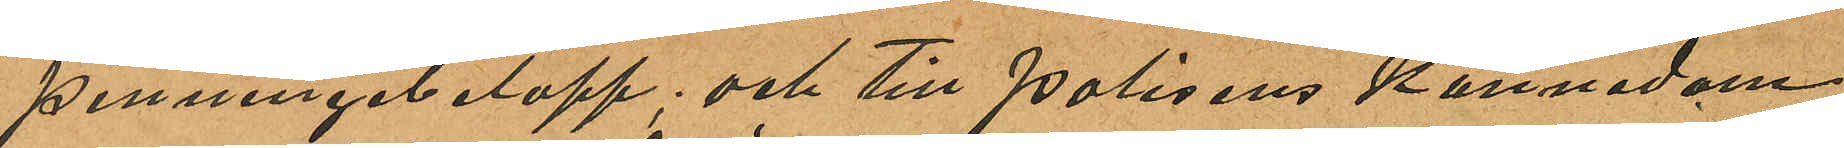penningebelopp; och till Polisens kännedom
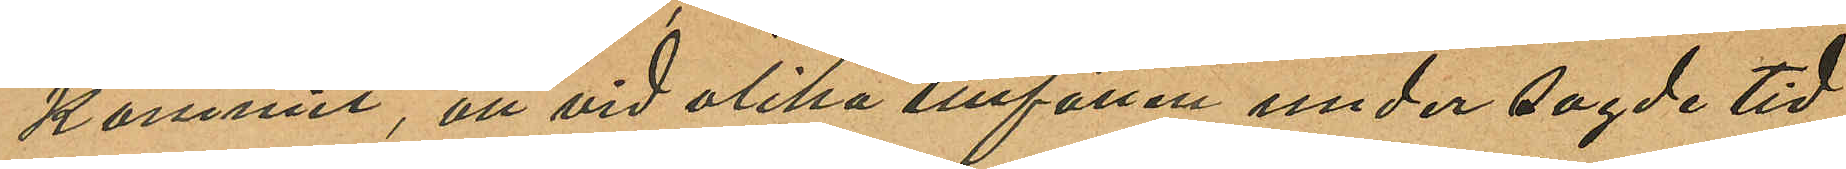kommit, att vid olika tillfällen under sagde tid
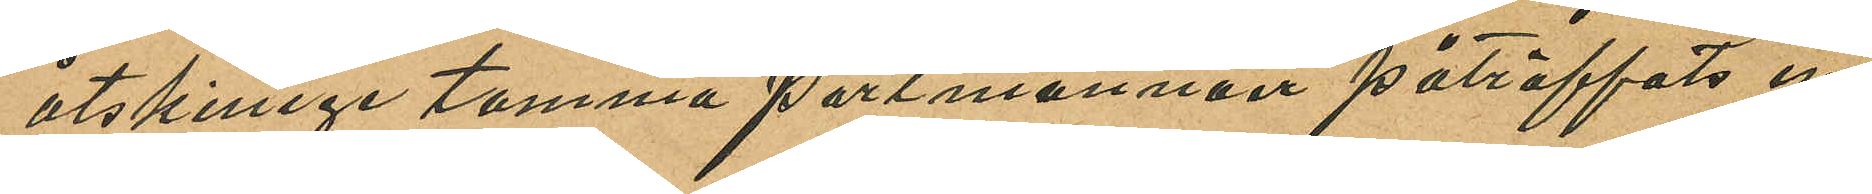åtskillige tomma portmonnäer påträffats in
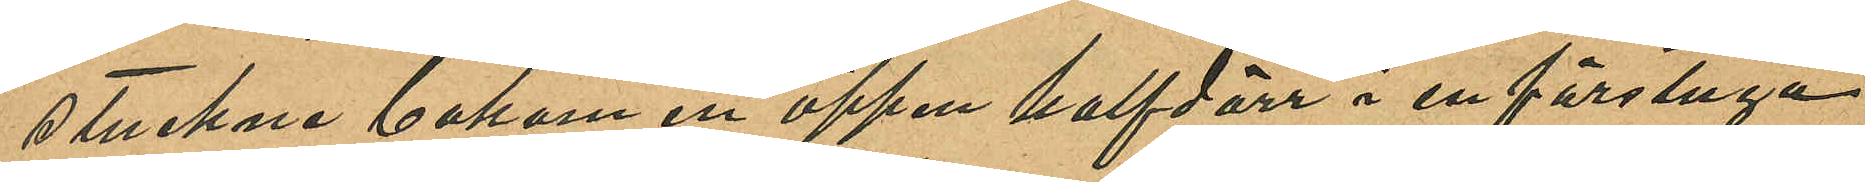stuckne bakom en öppen halfdörr i en förstuga
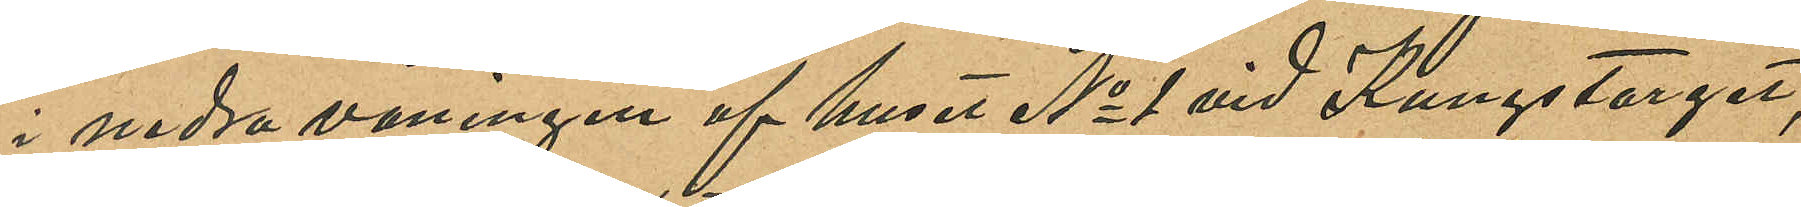i nedra våningen af huset No 1 vid Kungstorget,
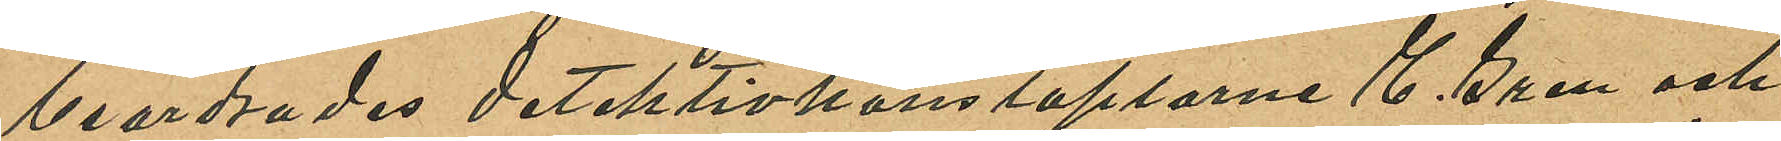beordrades detektivkonstaplarne E. Gren och
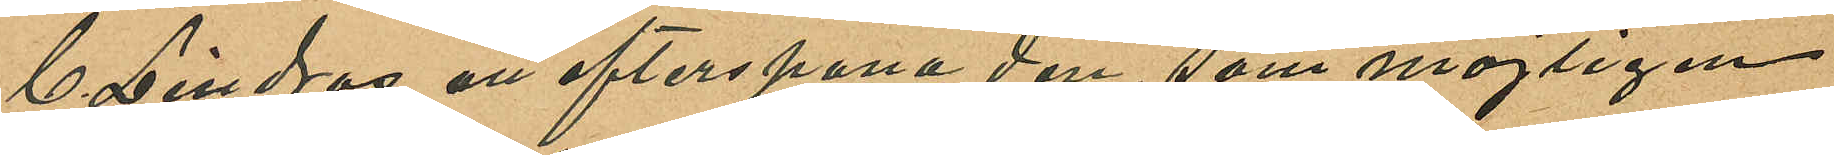C. Lindros att efterspana den, som möjligen
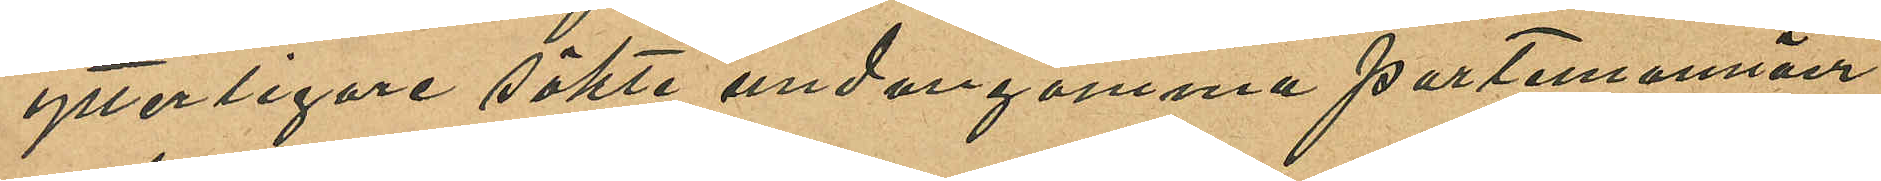ytterligare sökte undangömma portemonnäer
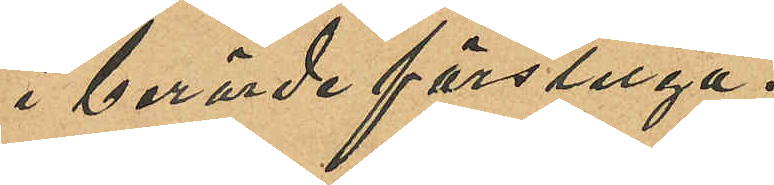i berörde förstuga.
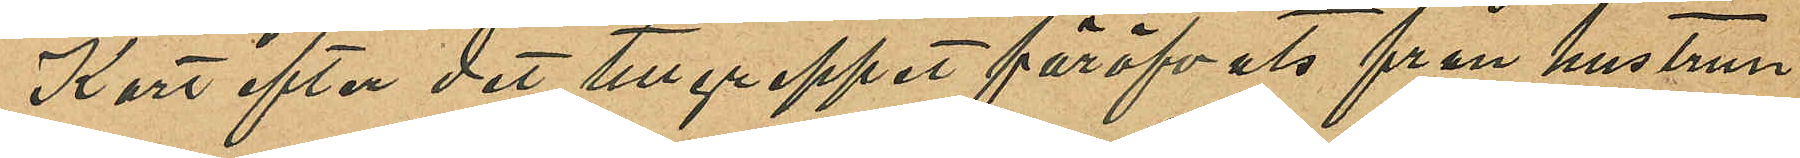Kort efter det tillgreppet föröfvats från hustrun
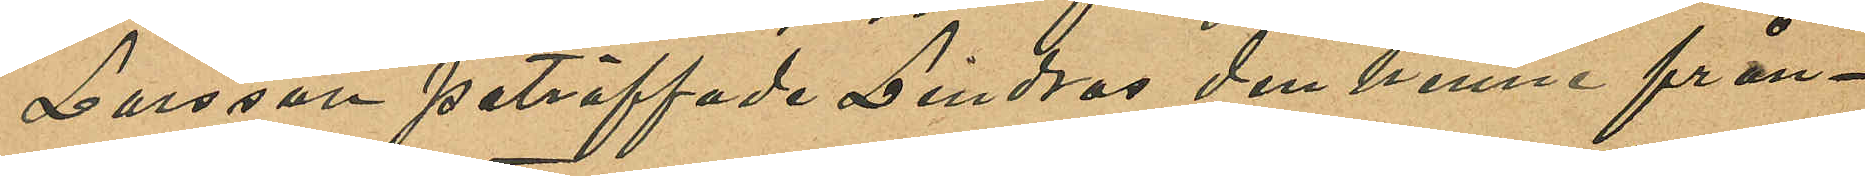Larsson påträffade Lindros den henne från¬
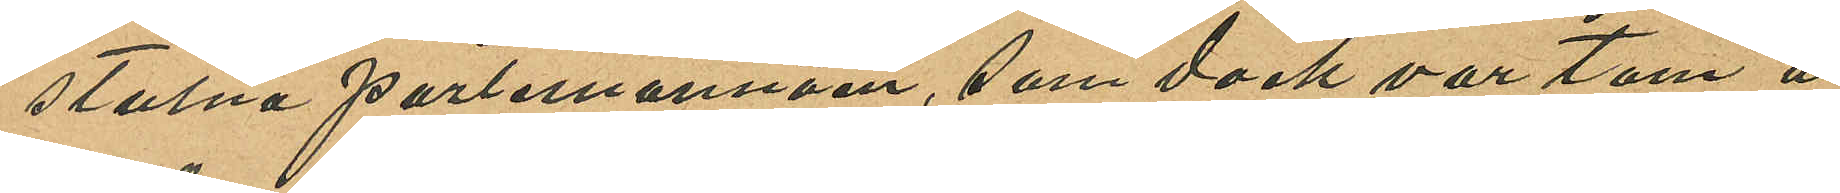stulna portemonnäen, som dock var tom å
